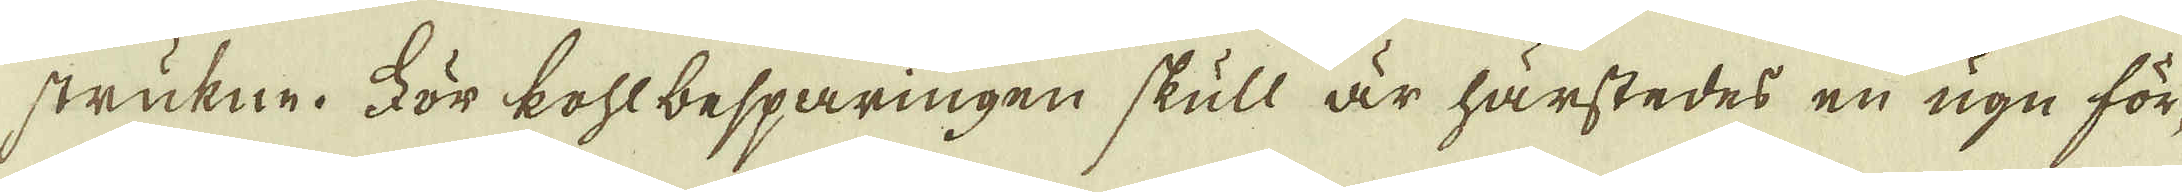strukne. För kohlbesparingen skull är härstedes en ugn för-
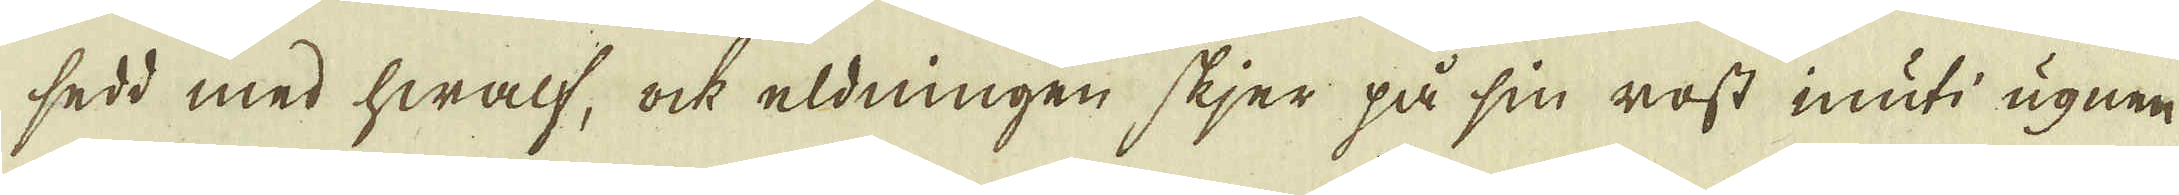sedd med hwalf, ock eldningen skjer på sin rost inuti ugnen
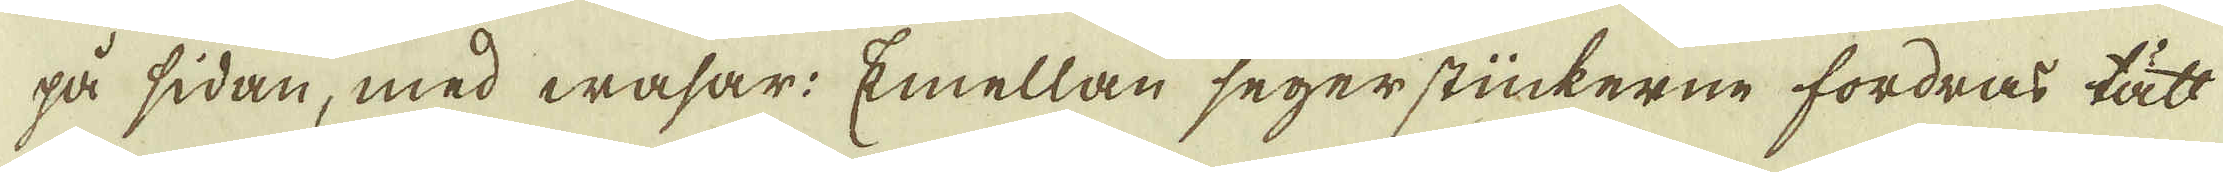på sidan, med wasar: Emellan segerstückerne fordras tätt
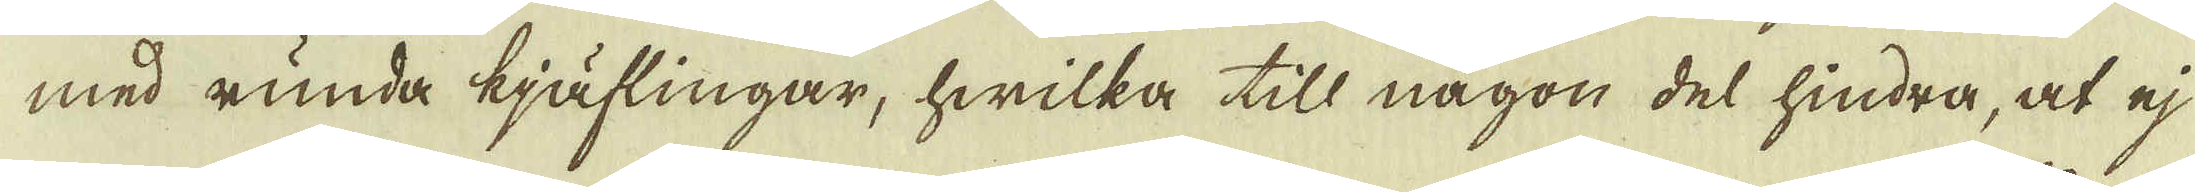med runda kjäflingar, hwilka till någon del hindra, at ej
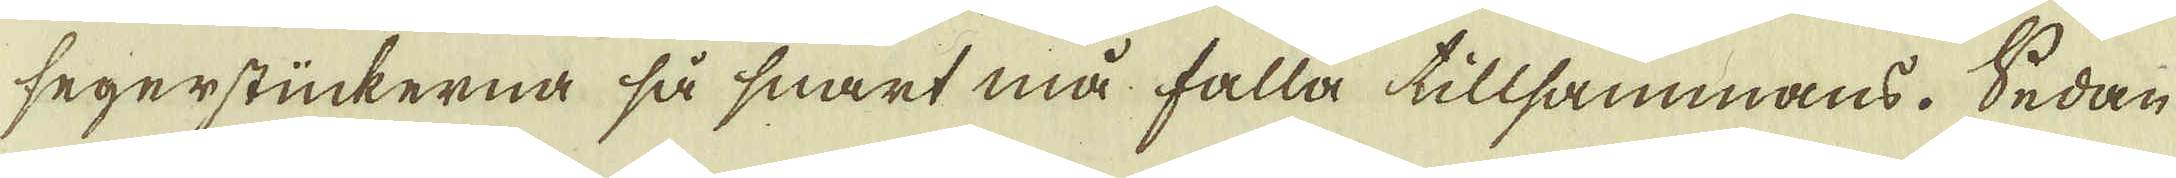segerstückerna så snart må falla tillsammans. Sedan
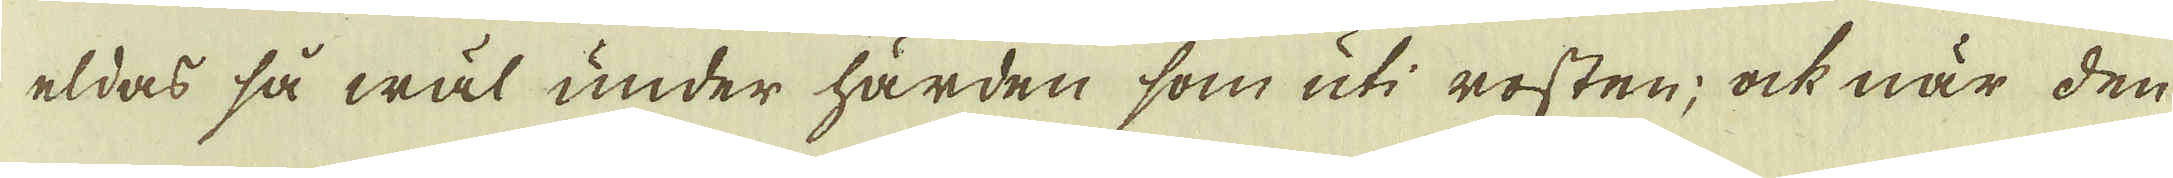eldas så wäl under härden som uti rosten; ock när den
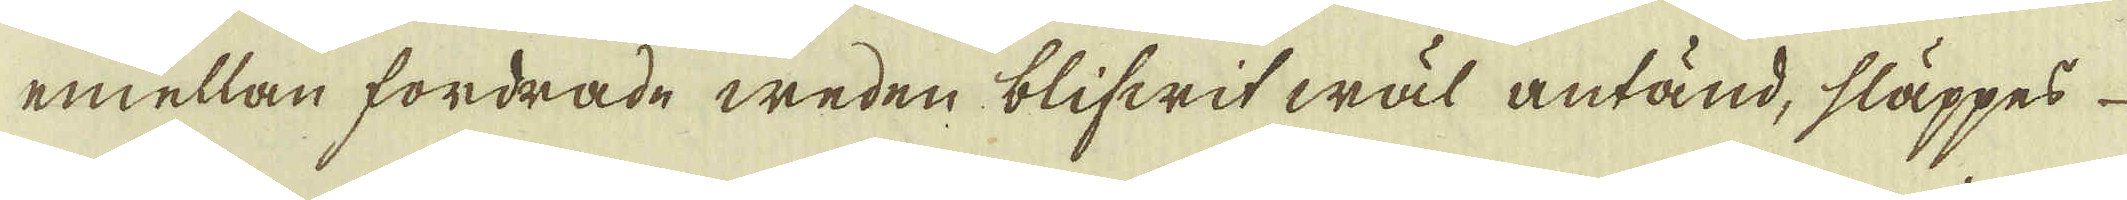emellan fordrade weden blifwit wäl antänd, släppes
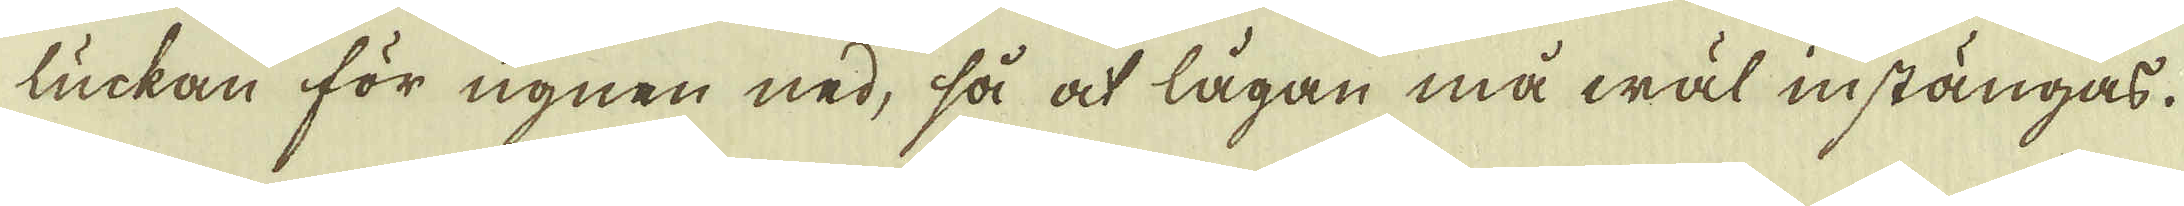luckan för ugnen ned, så at lågan må wäl instängas.
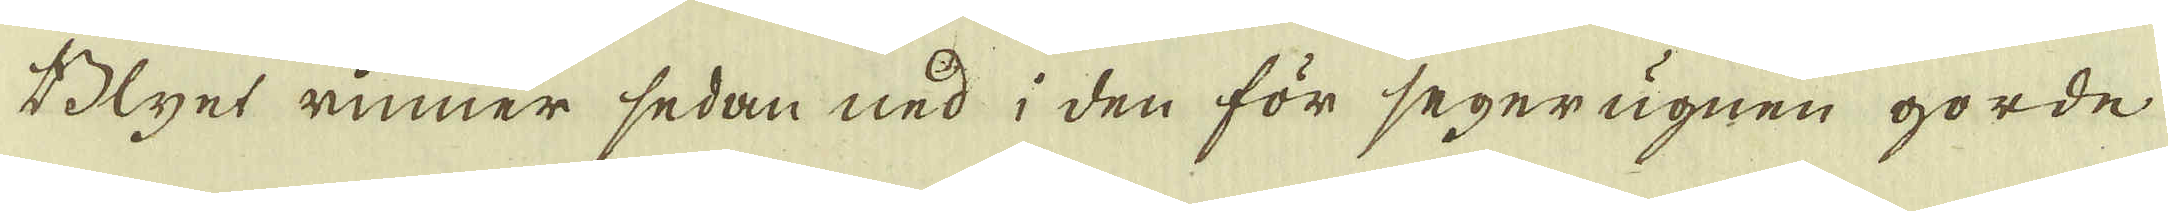Blyet rinner sedan ned i den för segerugnen gorde
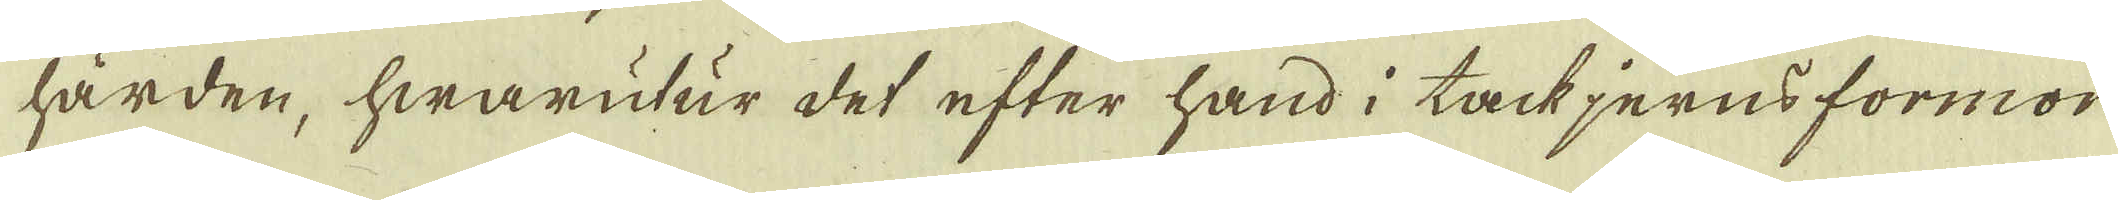härden, hwarutur det efter hand i tackjerns formor
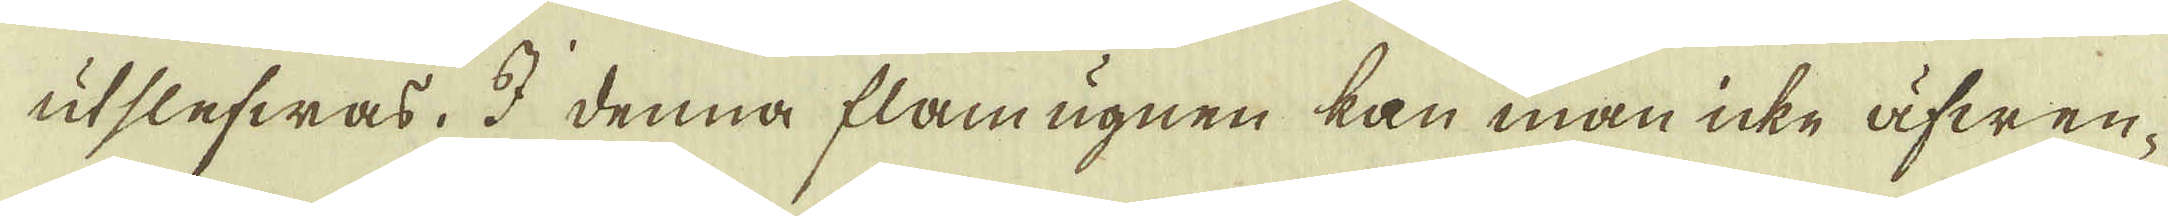utslefwas. I denna flamugnen kan man icke äfwen-
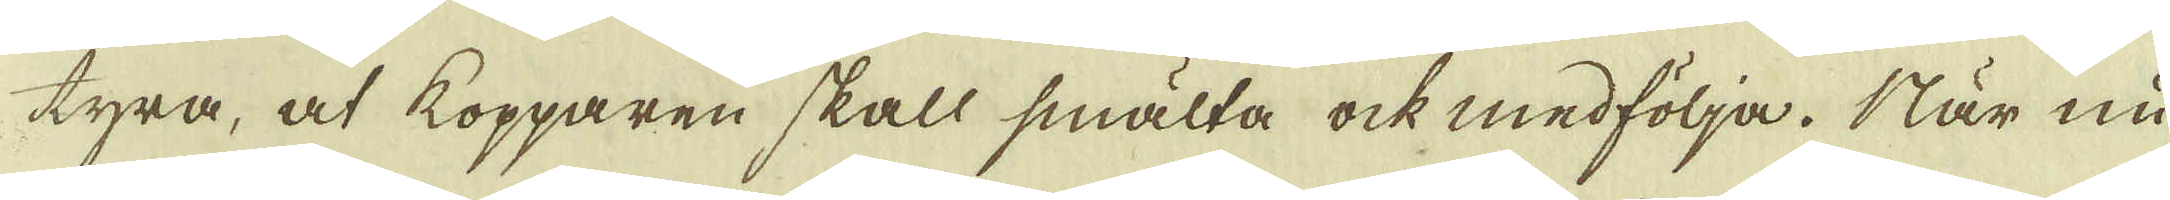tyra, at kopparen skall smälta ock medfölja. När nu
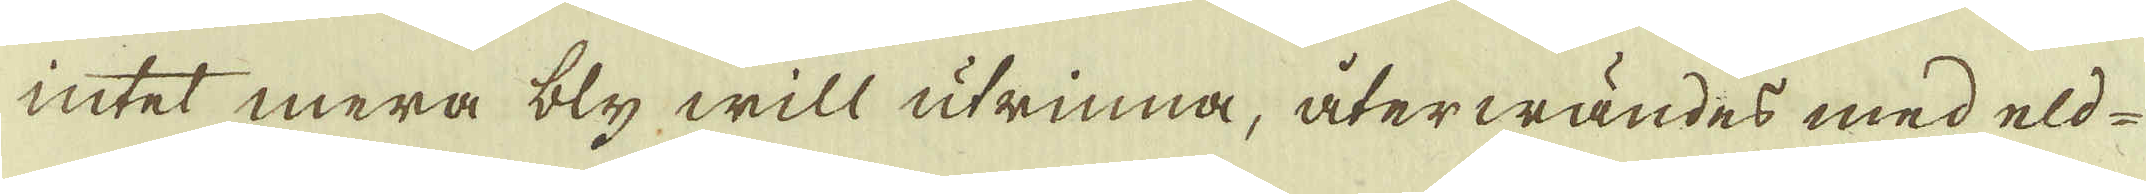intet mera bly will utrinna, återwändes med eld-
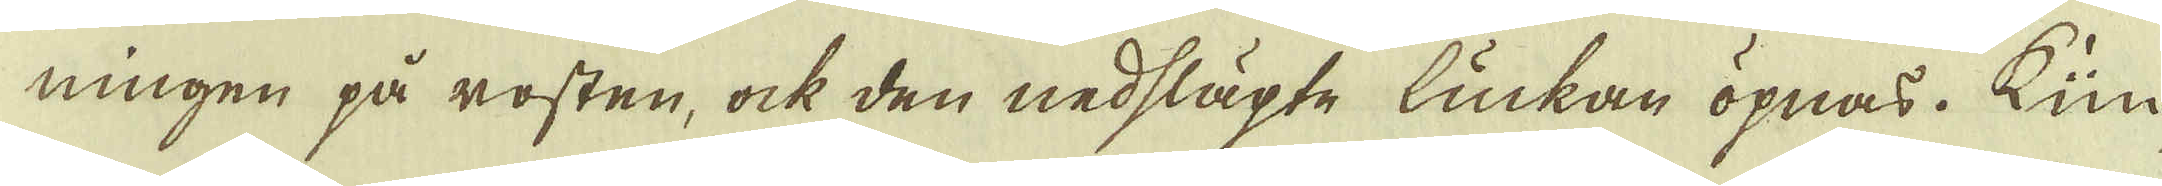ningen på rosten, ock den nedsläpte luckan öpnas. Kün-
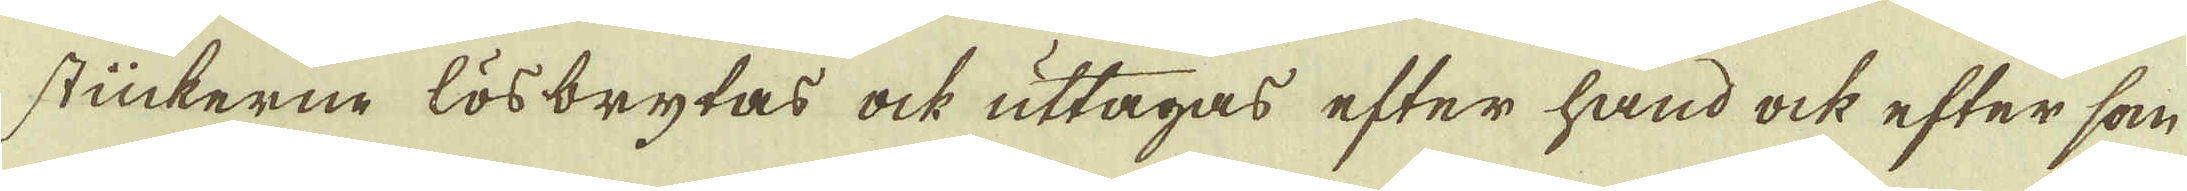stückerne lösbrytas ock uttagas efter hand ock efter som
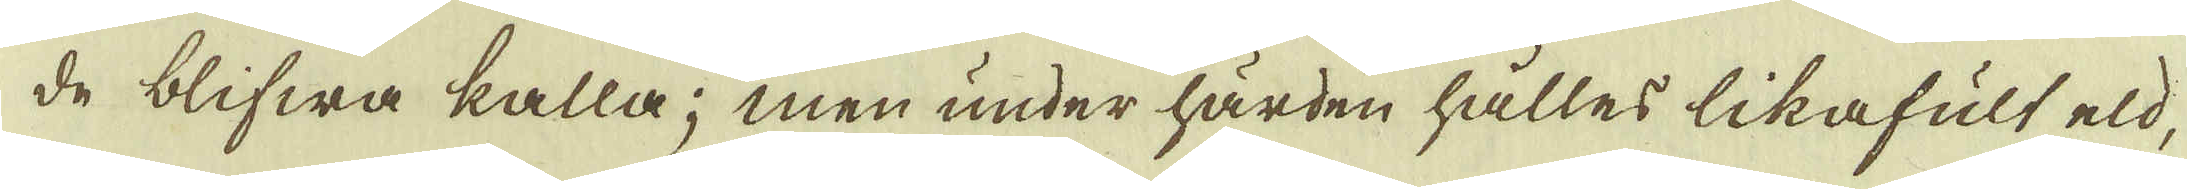de blifwa kalla; men under härden hålles likafult eld,
